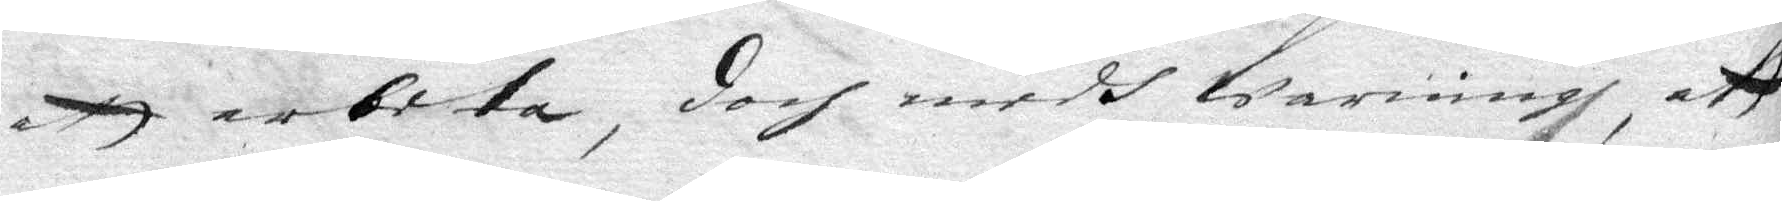att arbeta, doch medh warning, att
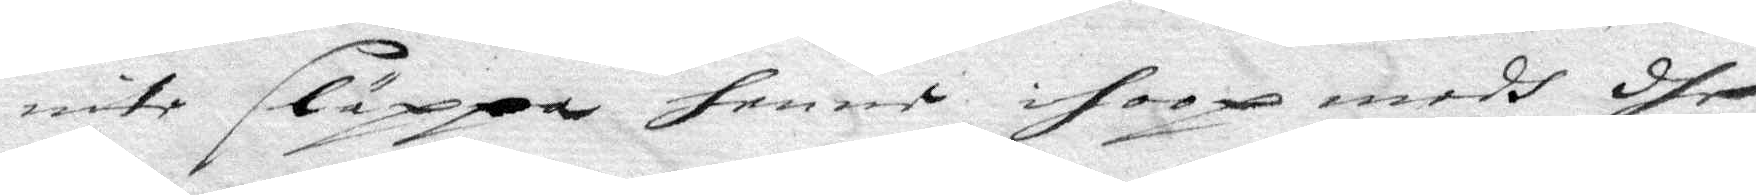inte släppa henne ihoop medh dhe
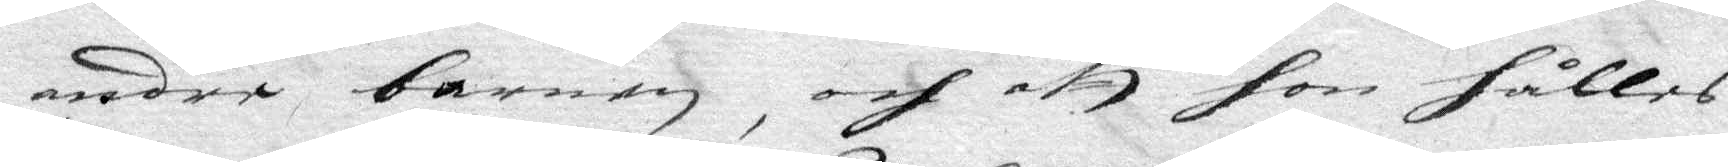andre barnen, och att hon hålles
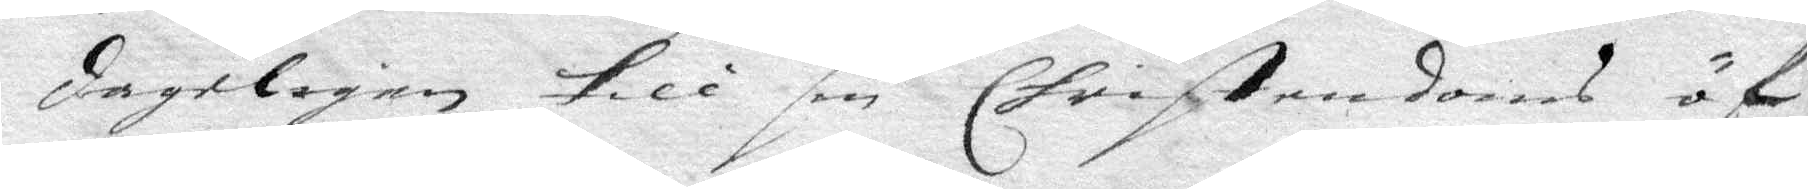dageligen till sin Christendoms öf¬
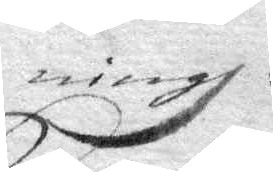ning.
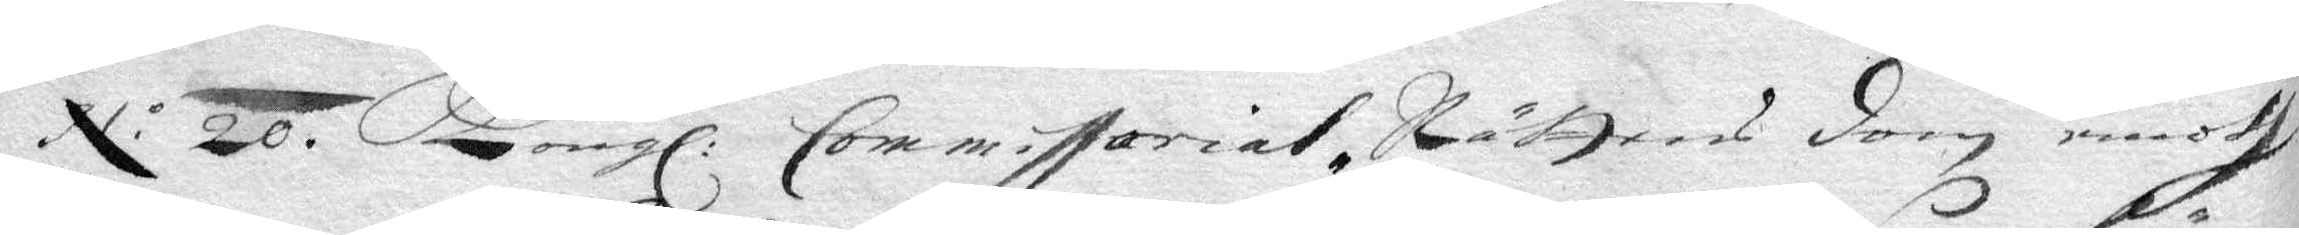N o 20. Kongl. Commissorial-Rättens dom emoth
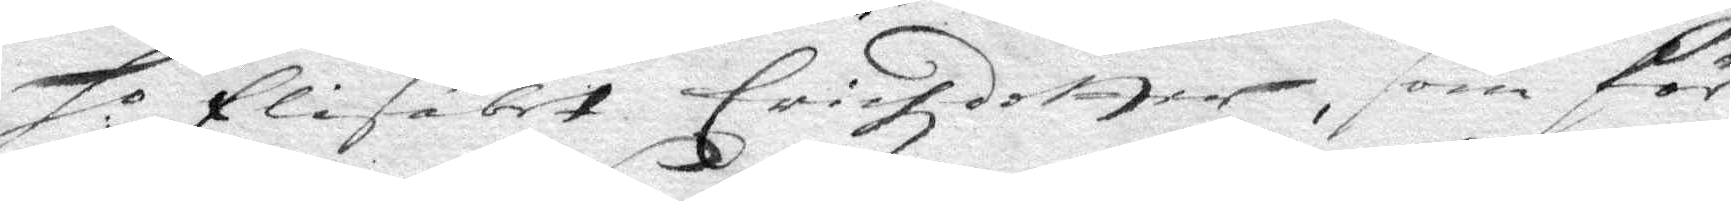Ho Elisabet Erichzdotter, som för 
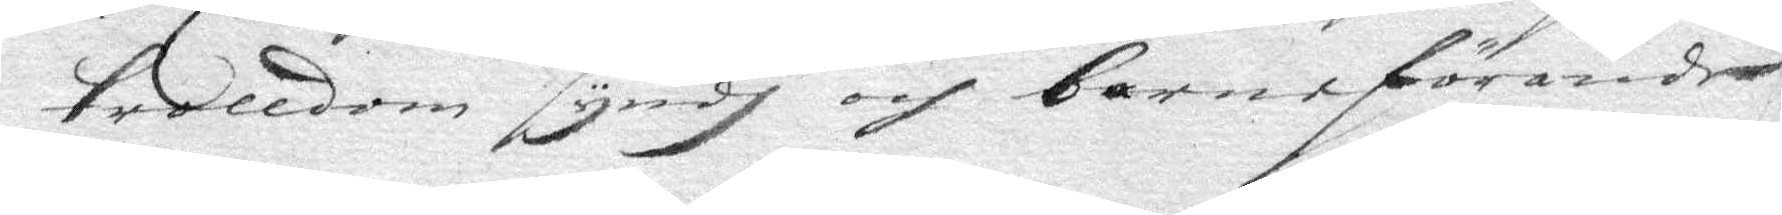trolldom syndh och barnaförande
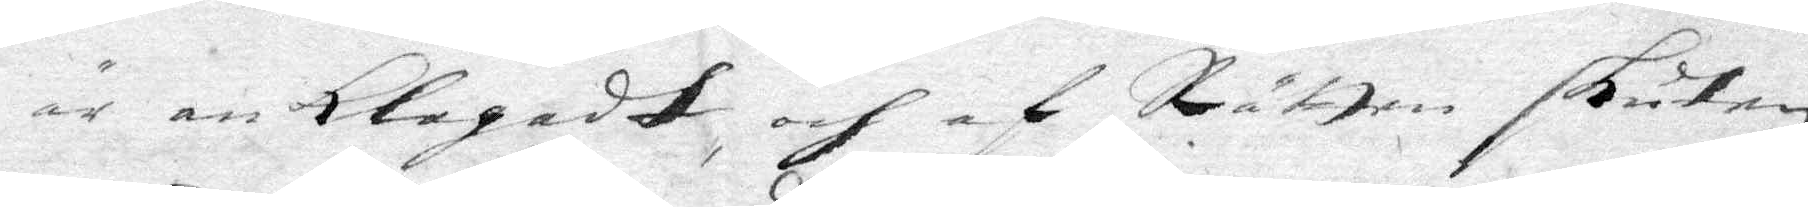är anklagadt och af Rätten skuten
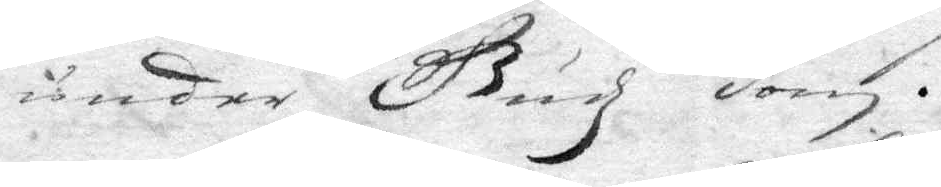under Guddz dom.
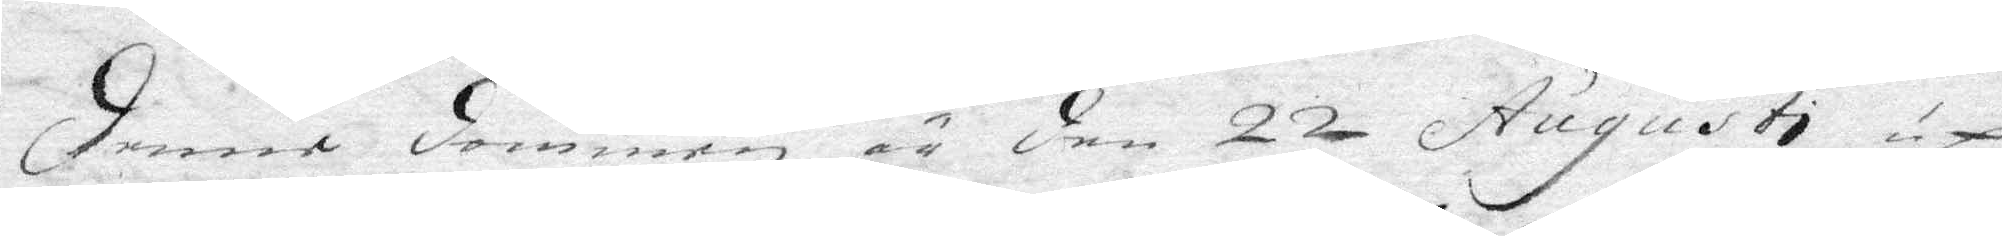denne dommen är den 22 Augusti up¬
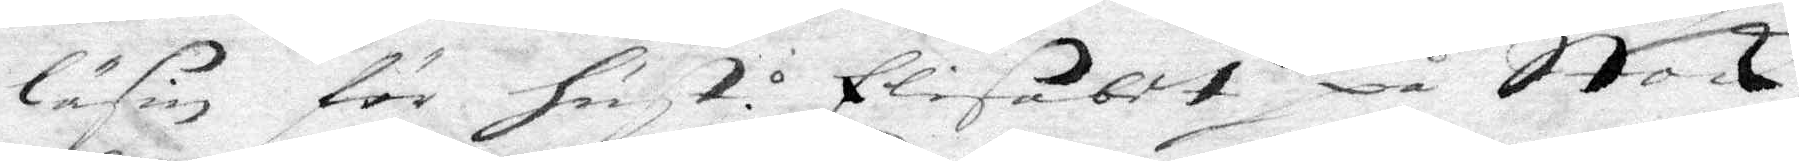läsin för hust: Elisabet på Stock¬
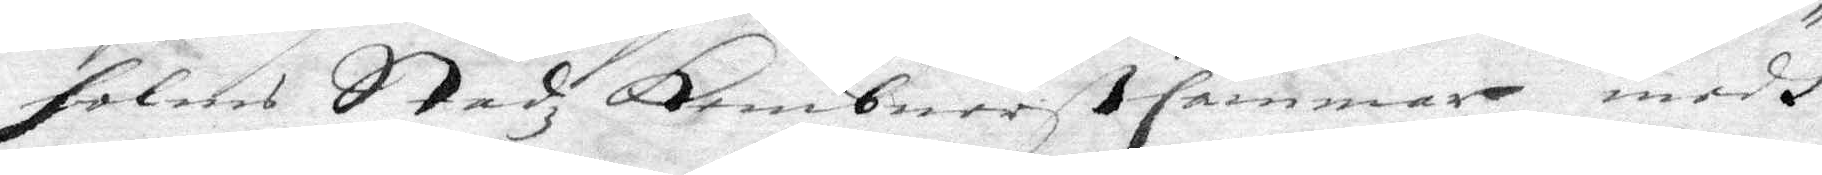holms Stadz Kembners cammar, medh
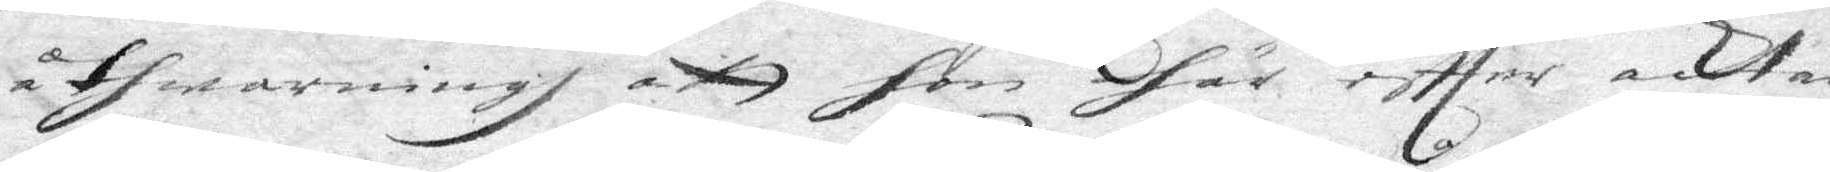åthwarning att hon här effter acktar
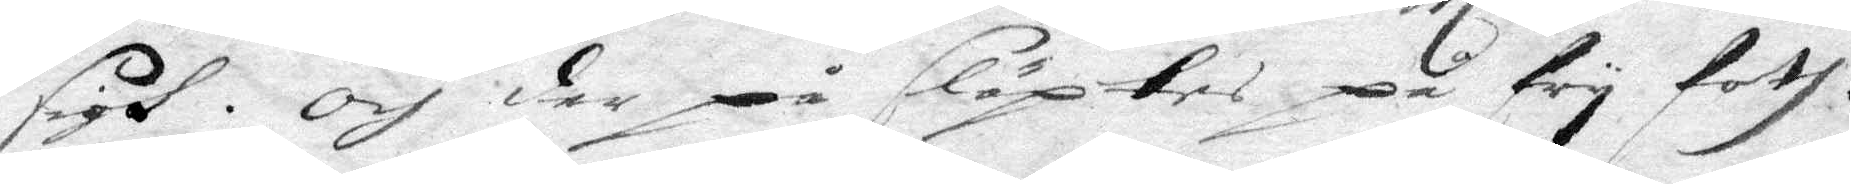sigh. Och der på släptes på fry foth.
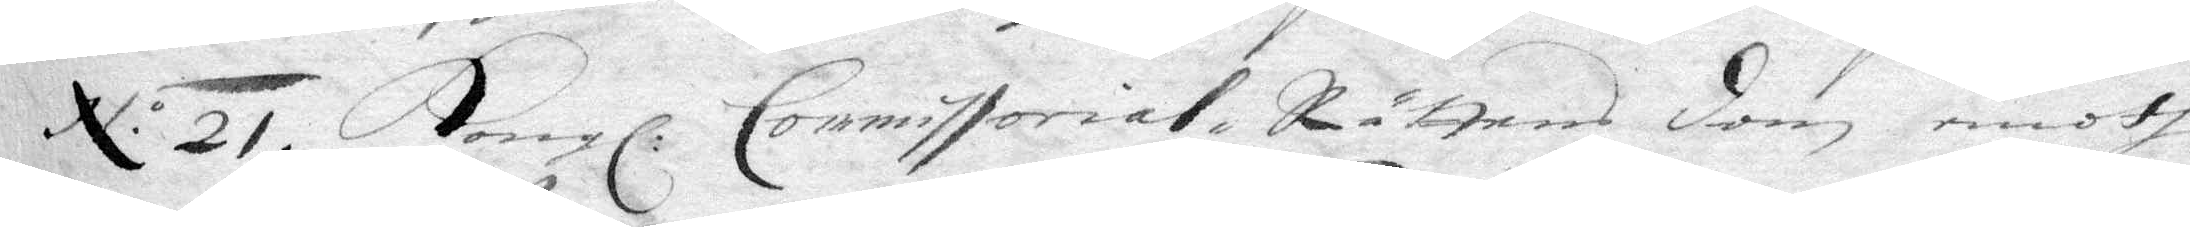N.o 21. Kongl. Commissorial Rättens dom emoth
